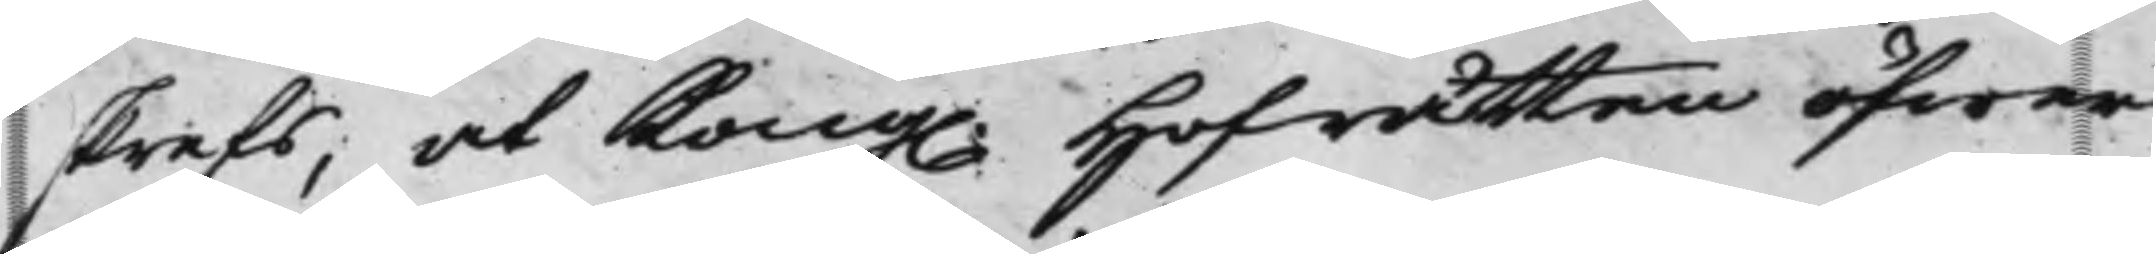skrefs, at Kong. Hofrätten öfwer
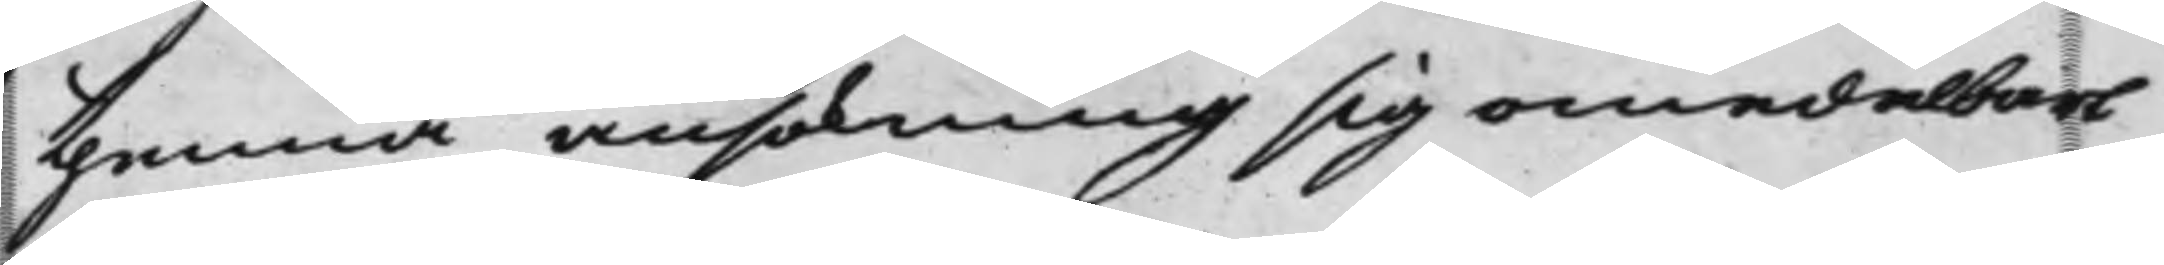thenna ansökning sig omedelbart
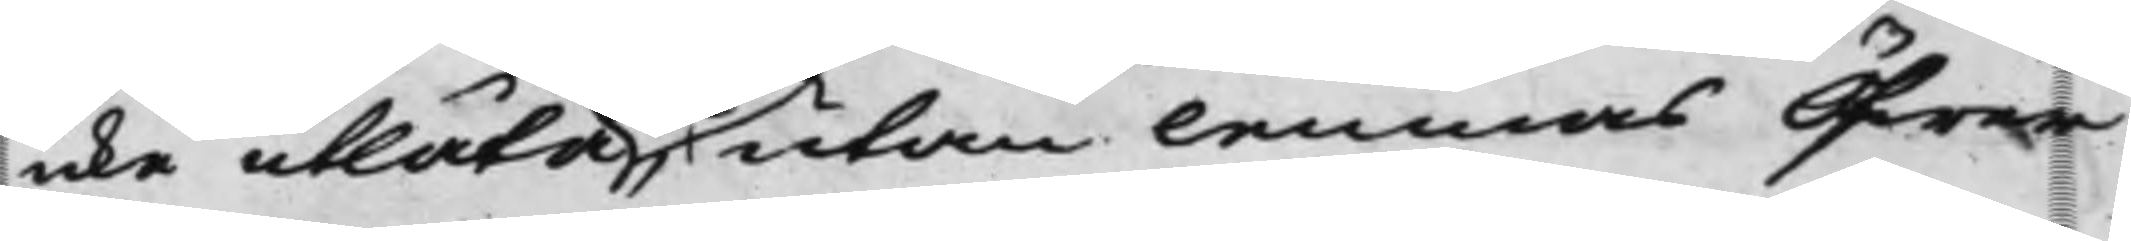icke utlåta utan lemnas Öfwer¬
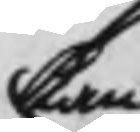kan
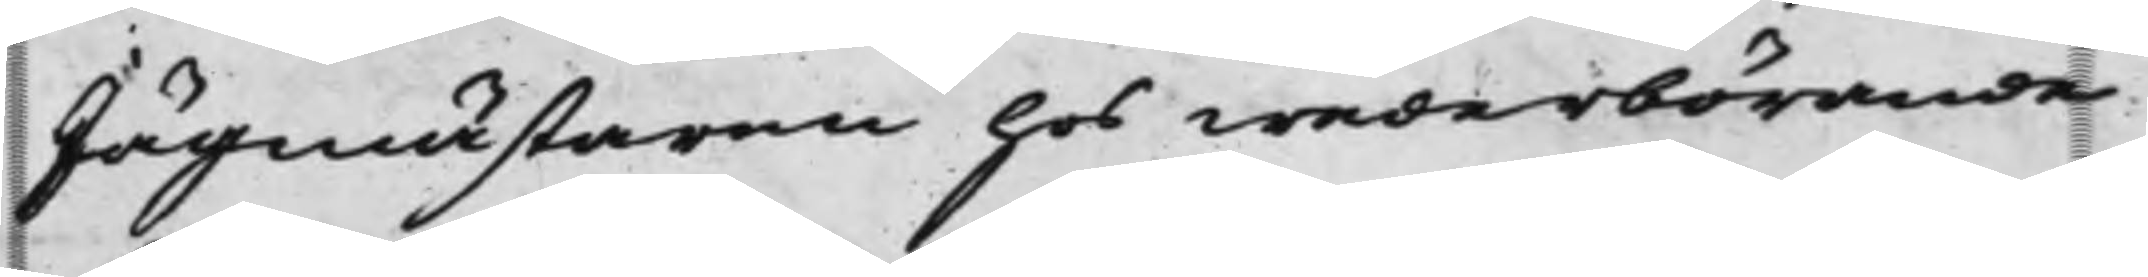Jägmästaren hos wederbörande
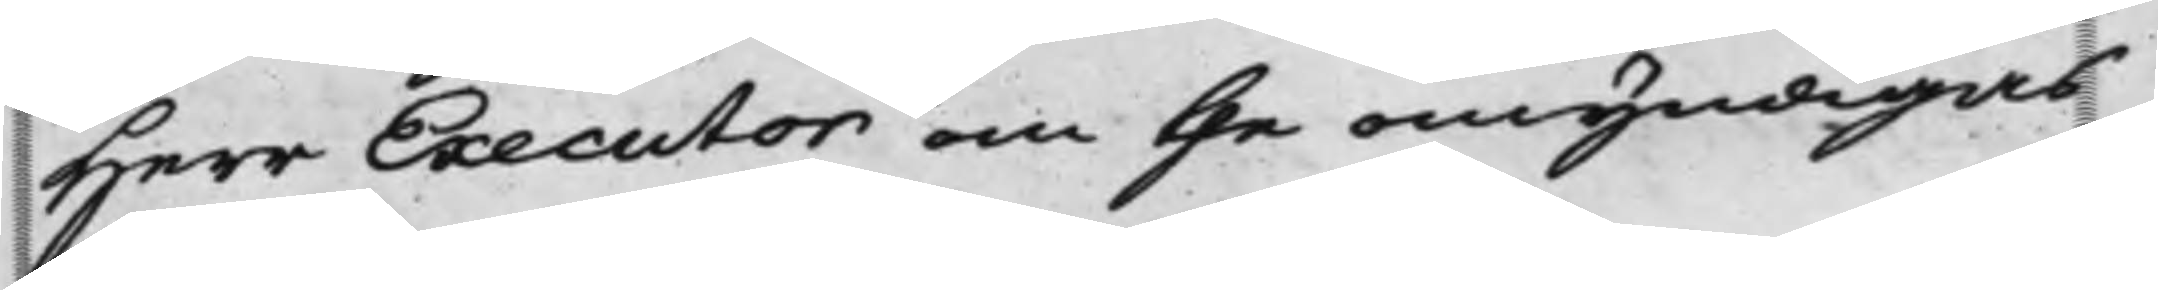Herr Executor om the omyndigas
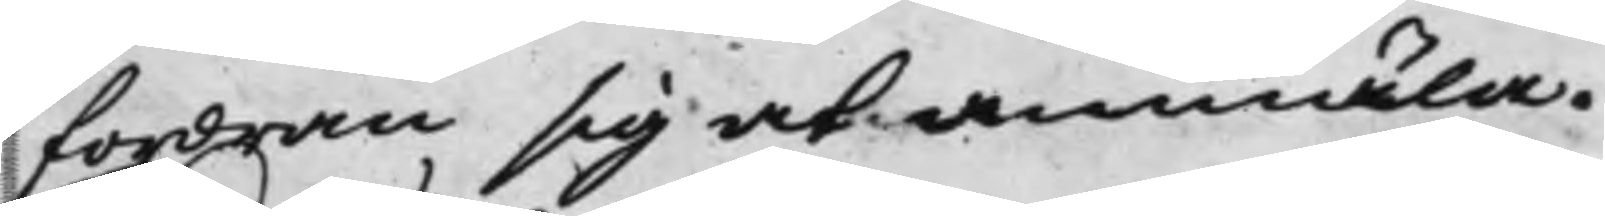fordran sig at anmäla.
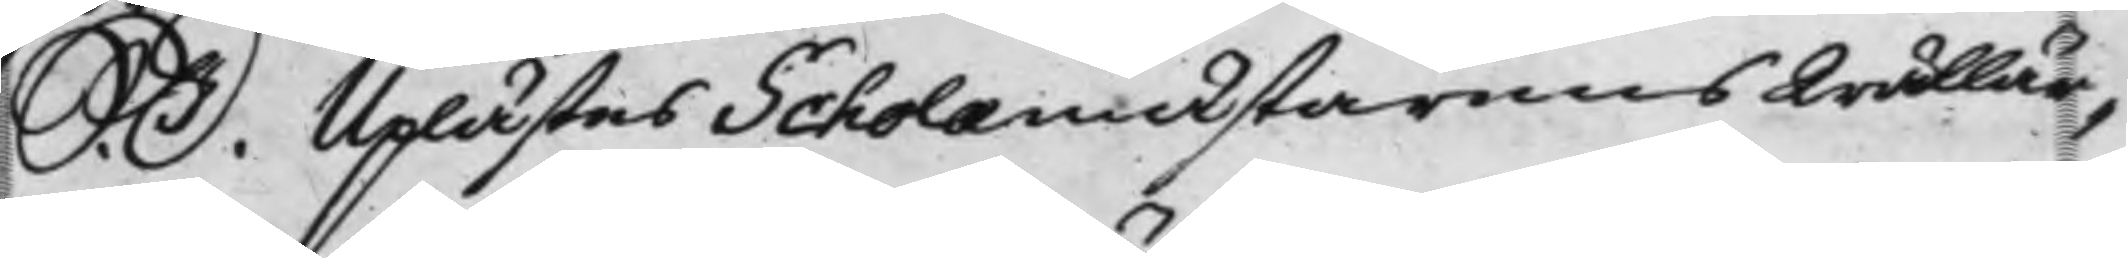S: D: Uplästes Scholaemästarens Wällär¬
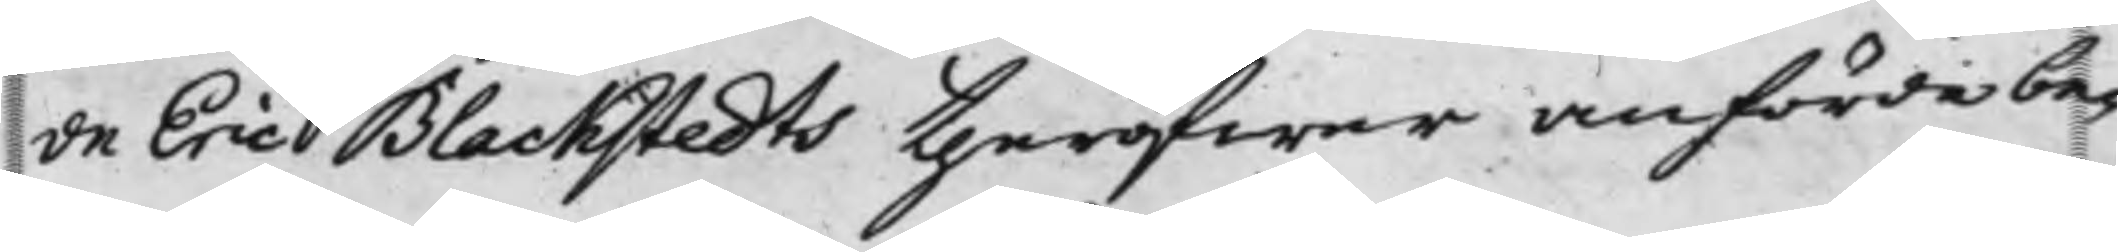de Eric Blackstedts theröfwer anförde be¬
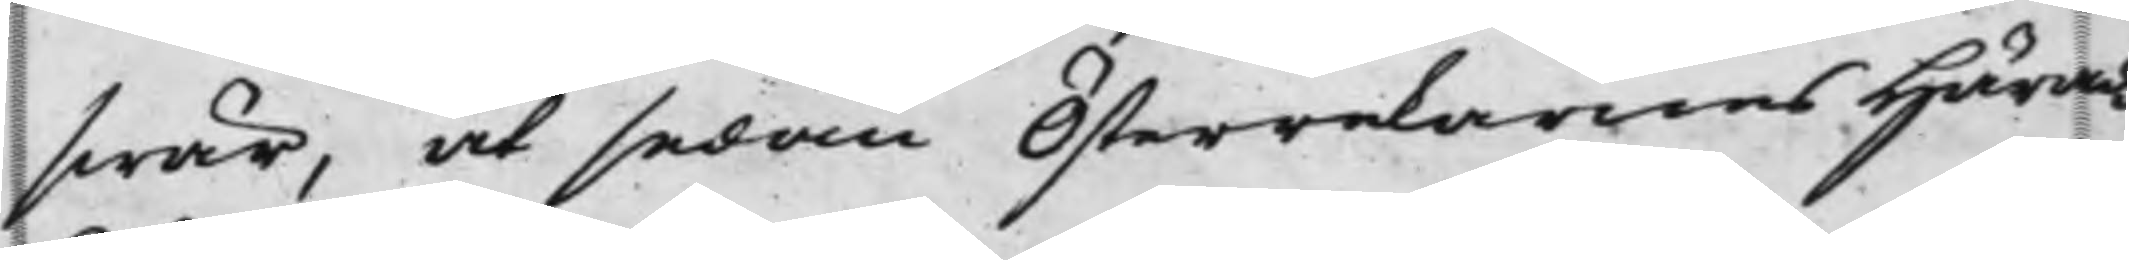swär, at sedan Österrekarnes Härads¬
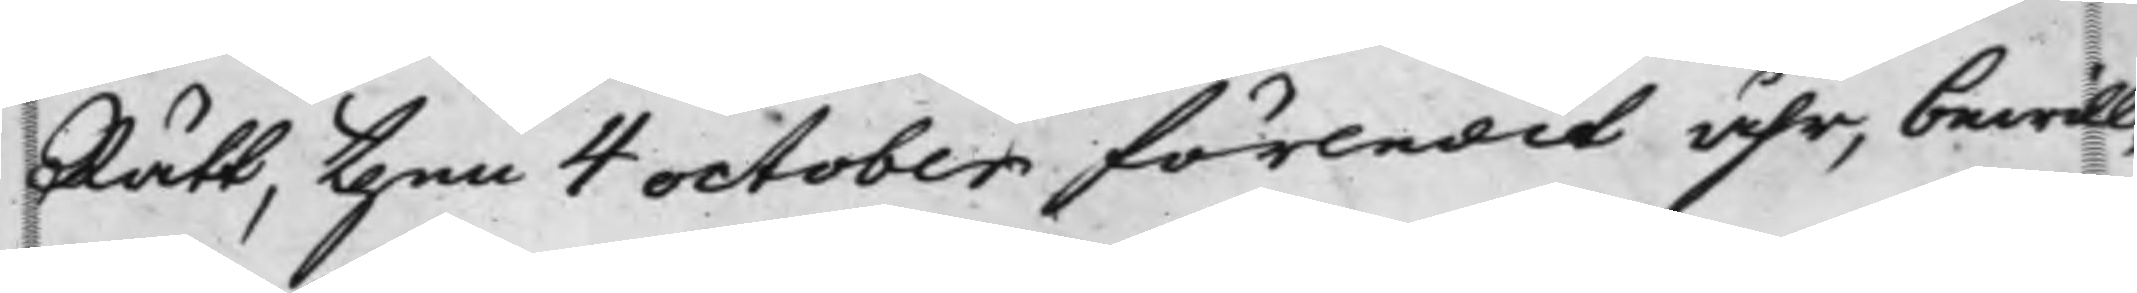Rätt, den 4 October förledit åhr, bewill¬
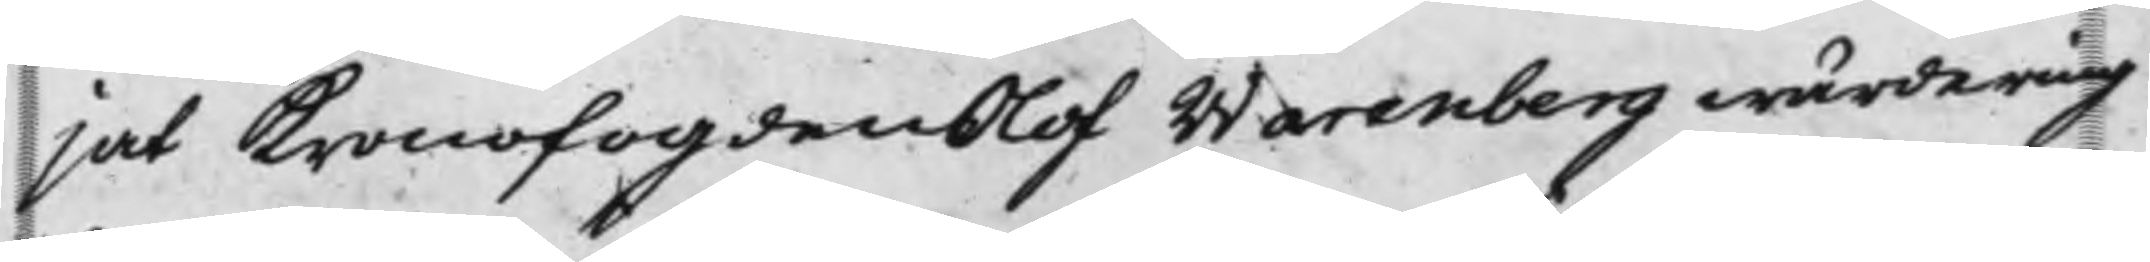jat Kronofogden Olof Warenberg wärdering
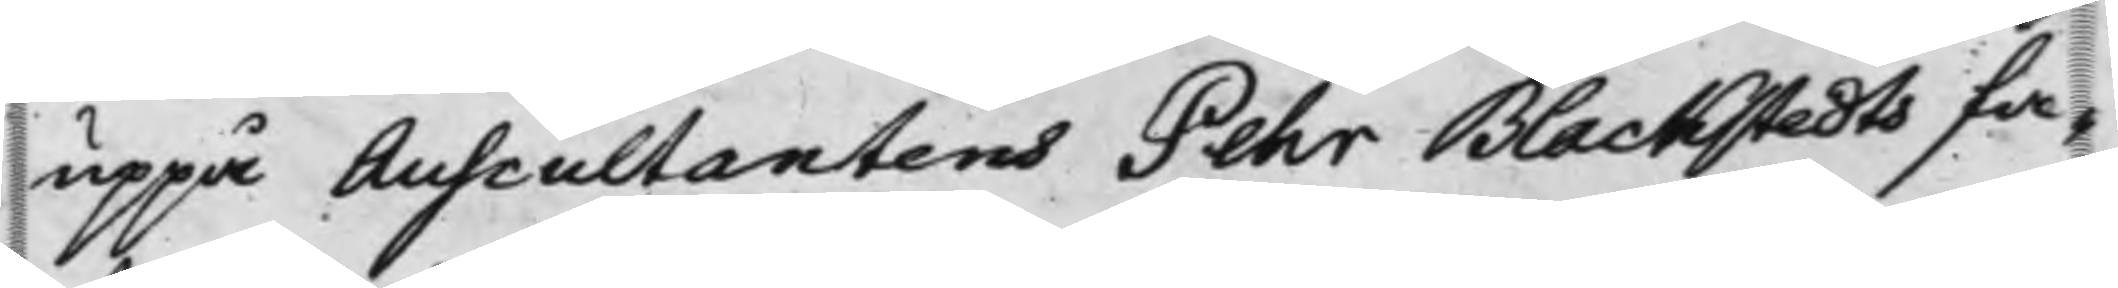uppå Auscultantens Pehr Blackstedts fa¬
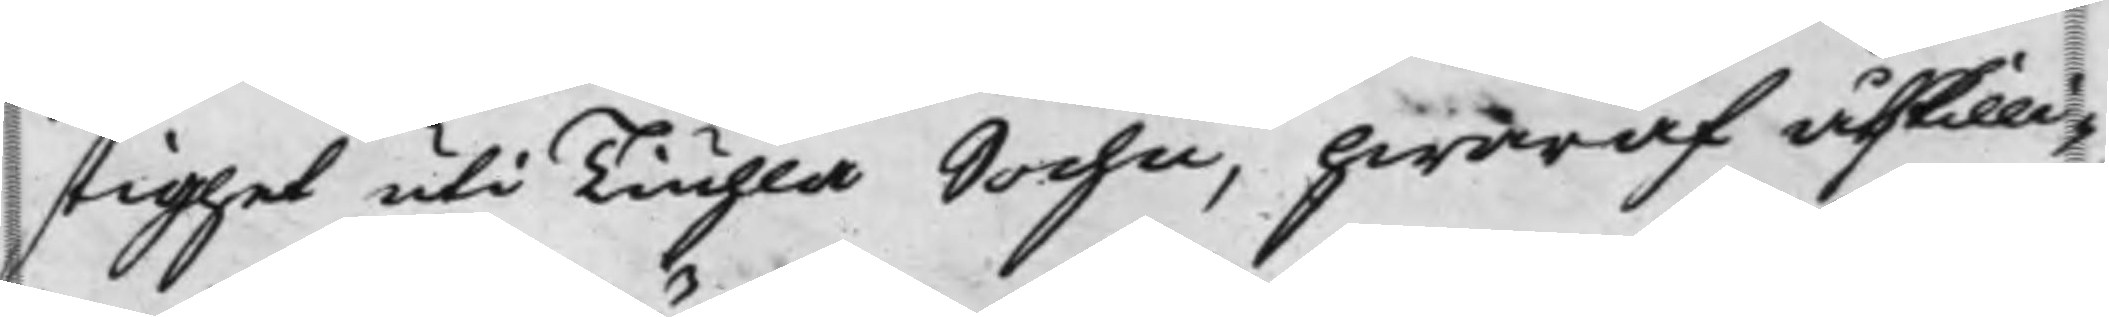stighet uti Tiuhla Sochn, hwaraf åskilli¬
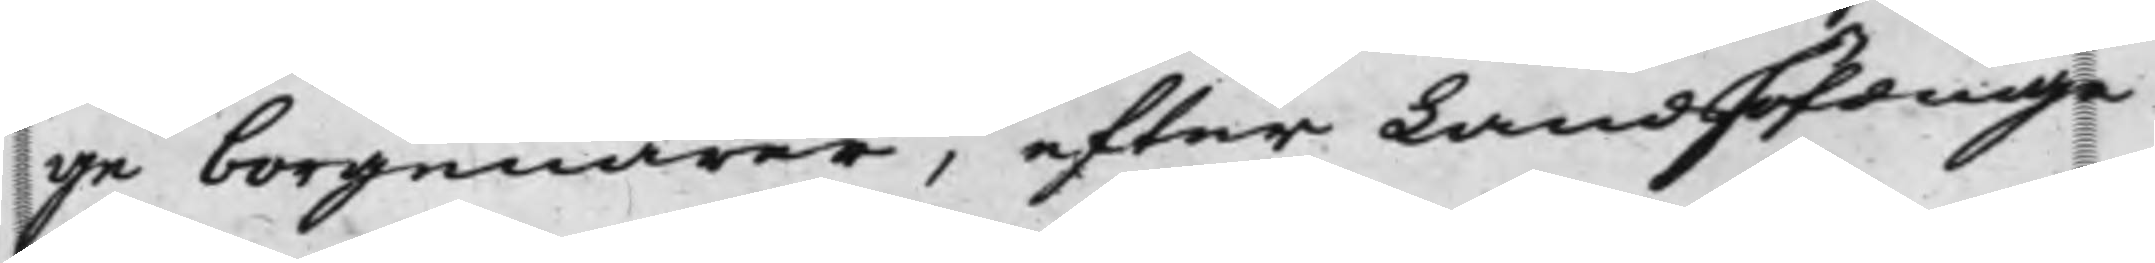ge borgenärer, efter Landshöfdinge¬
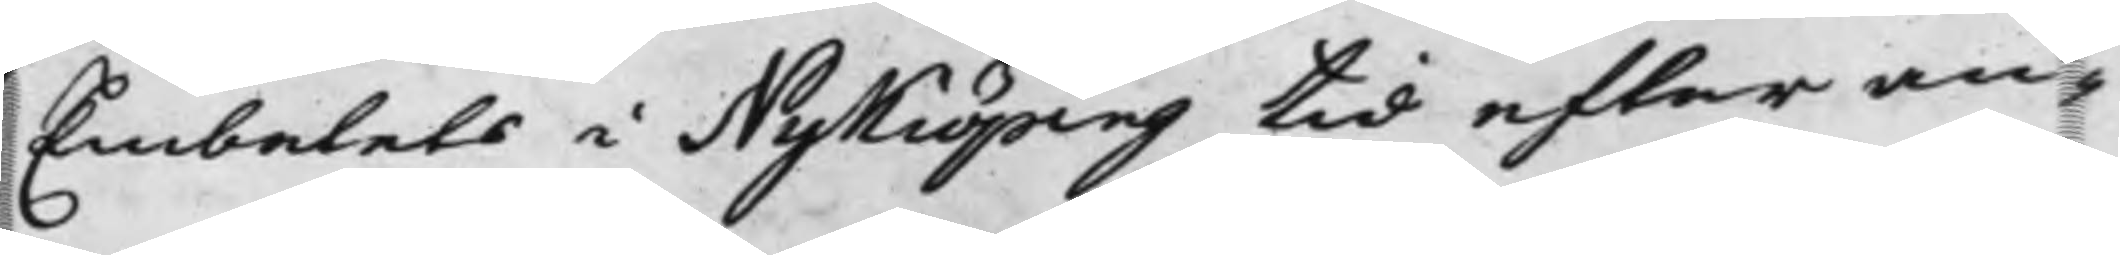Embetets i Nykiöping tid efter an¬
